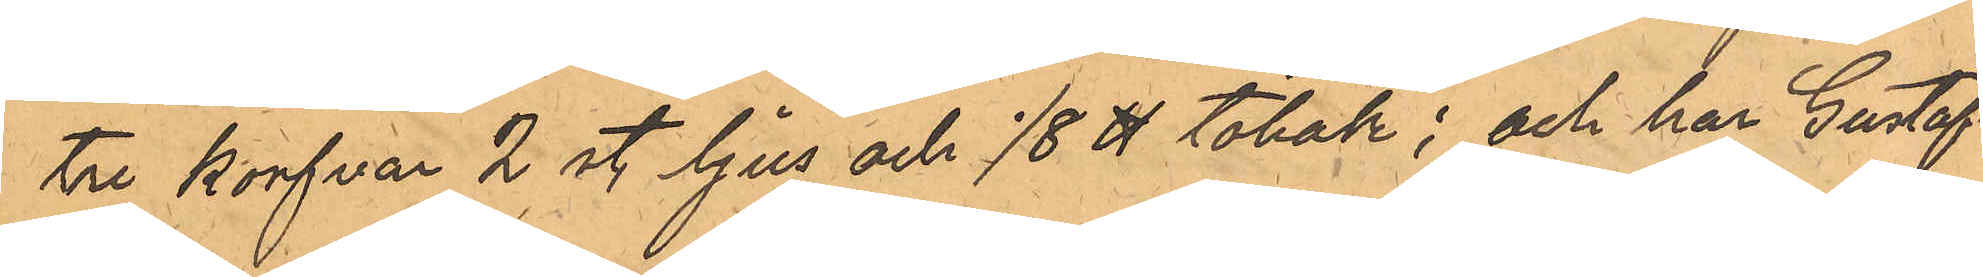tre korfvar 2 st. ljus och 1/8 ℔ tobak; och har Gustafs¬
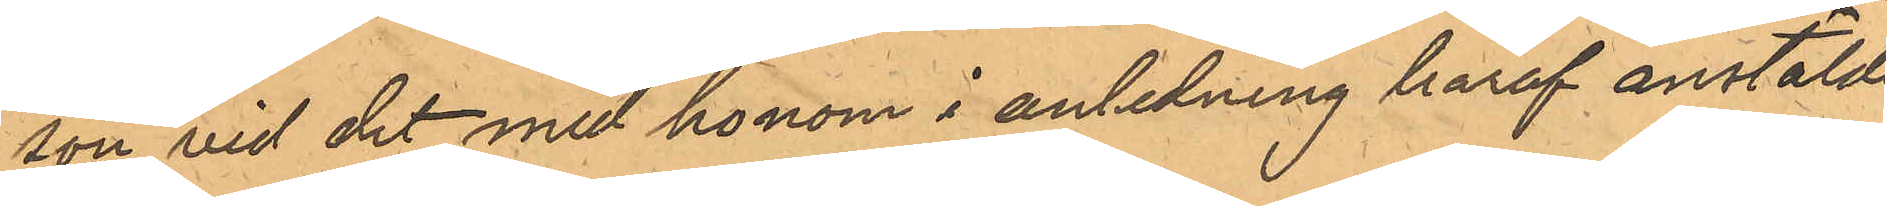son vid det med honom i anledning häraf anstälde
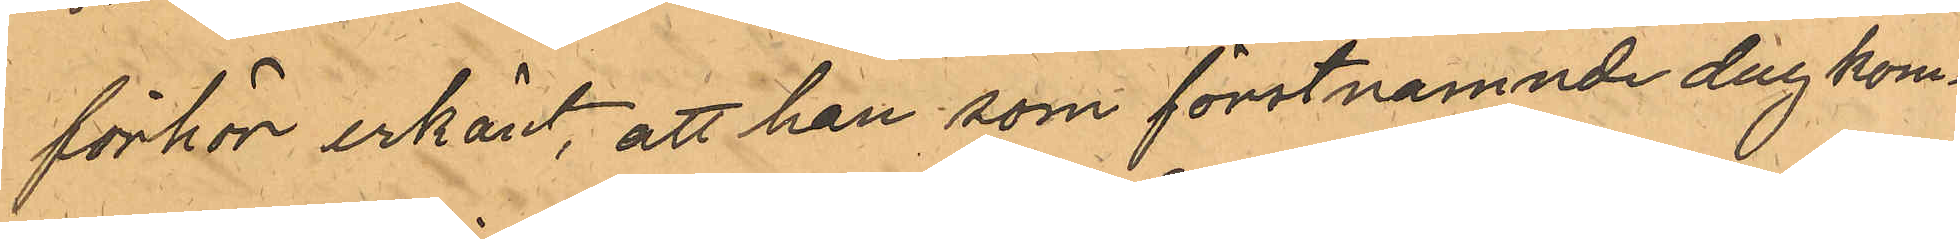förhör erkänt, att han som förstnamnde dag kom¬
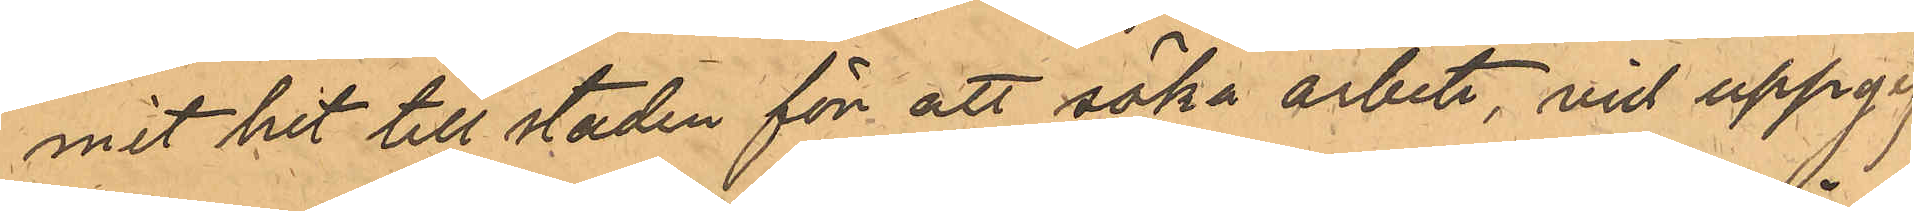mit hit till staden för att söka arbete, vid uppgif¬
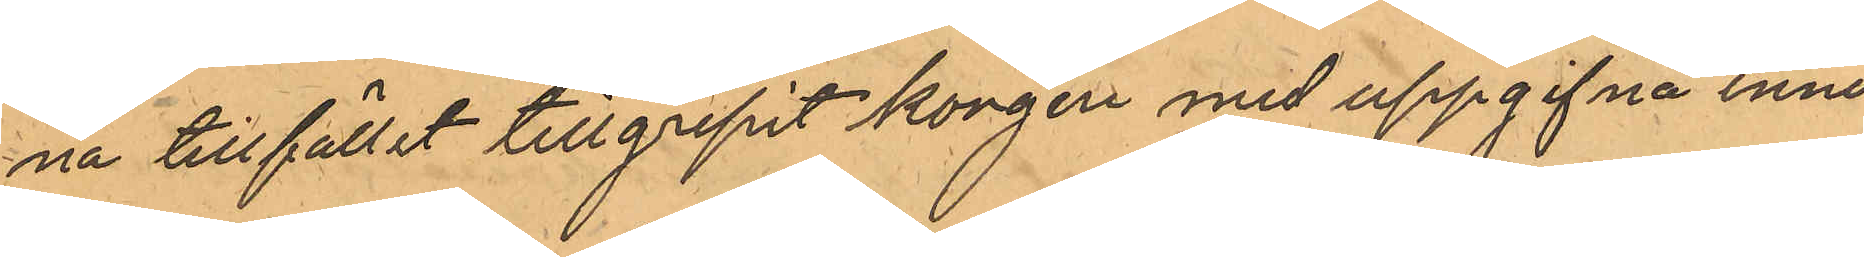na tillfället tillgripit korgen med uppgifna inne¬
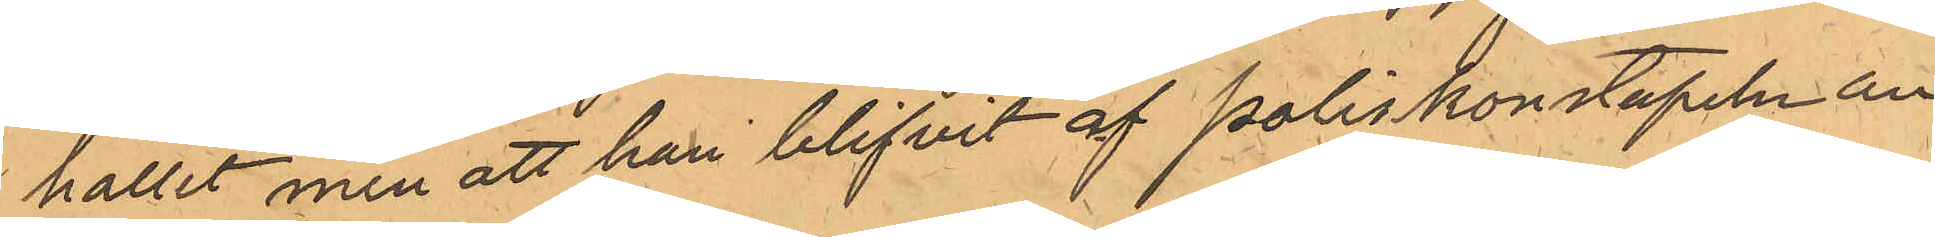hållet men att han blifvit af Poliskonstapeln an¬
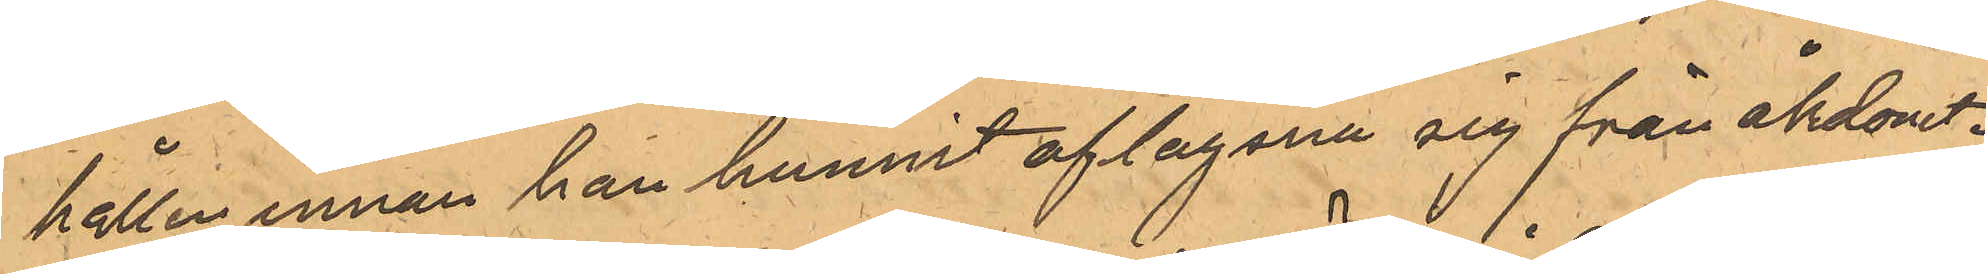hållen innan han hunnit aflägsna sig från åkdonet.
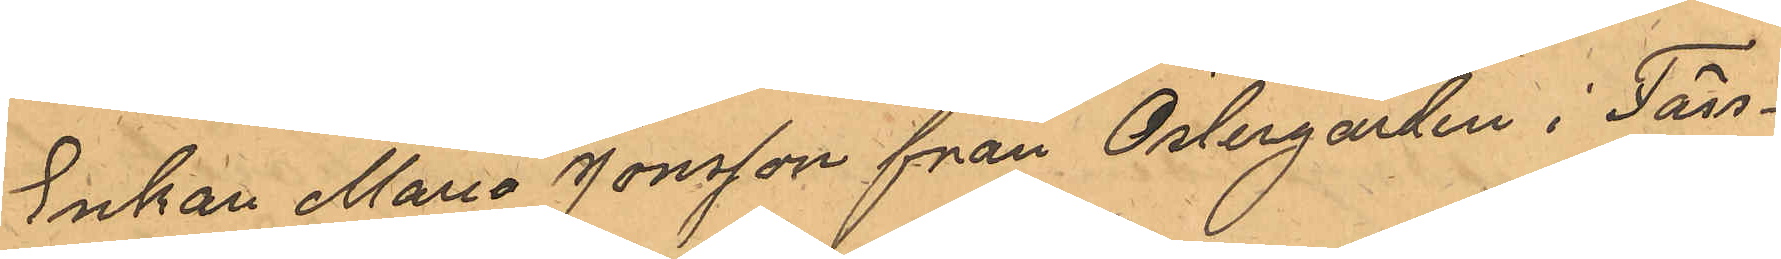Enkan Maria Jonsson från Östergården i Fäss¬
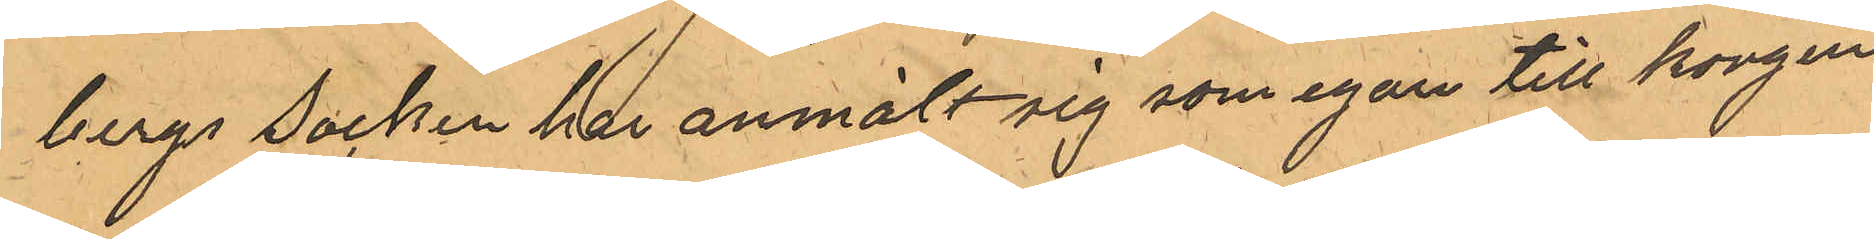bergs socken har anmält sig som egare till korgen
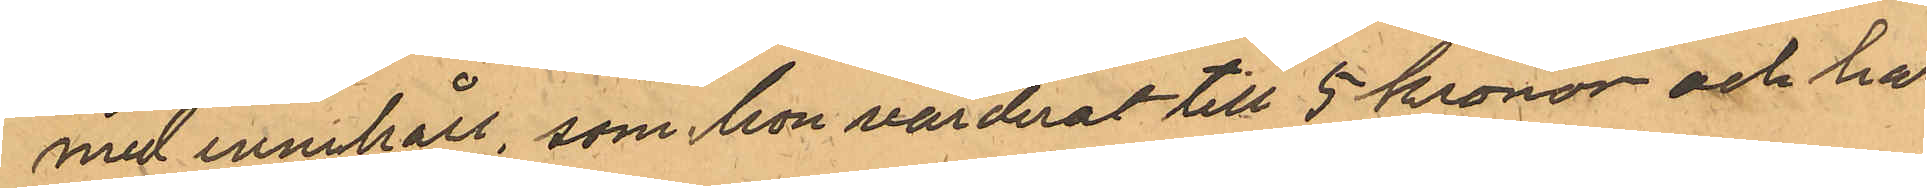med innehåll, som hon värderat till 5 kronor och har
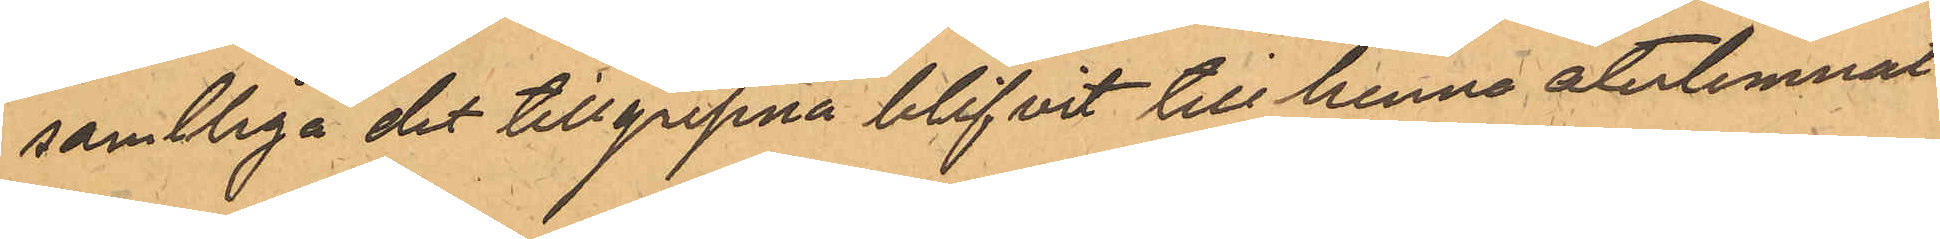samtliga det tillgripna blifvit till henne återlemnat
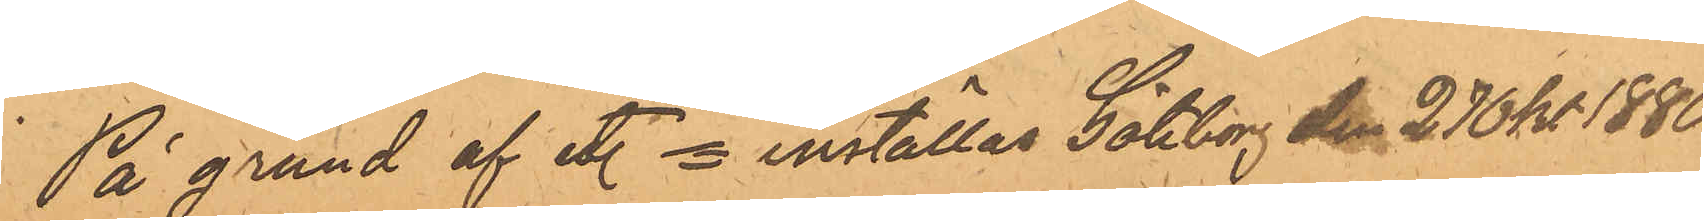På grund af etc. = inställas Göteborg den 27 0kt 1880
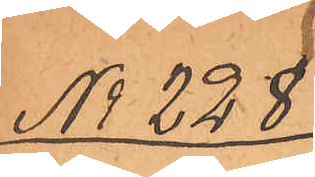No 228
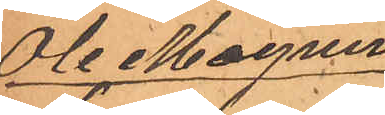Ole Magnus
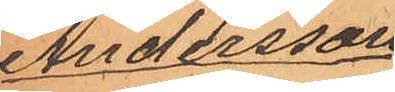Andersson
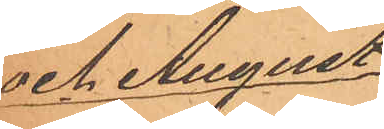och August
